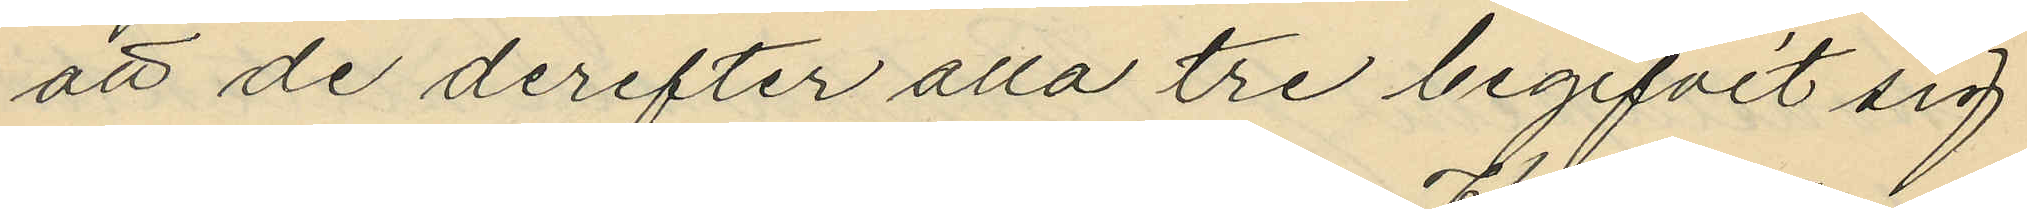att de derefter alla tre begifvit sig
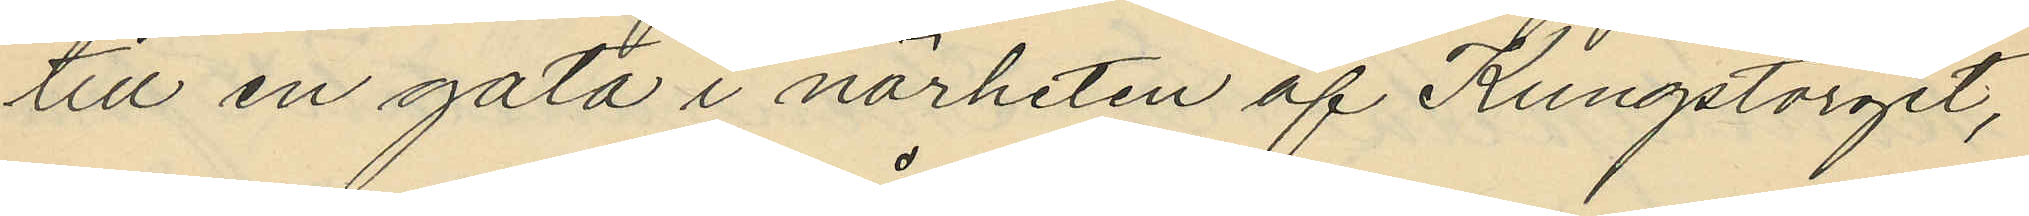till en gata i närheten af Kungstorget,
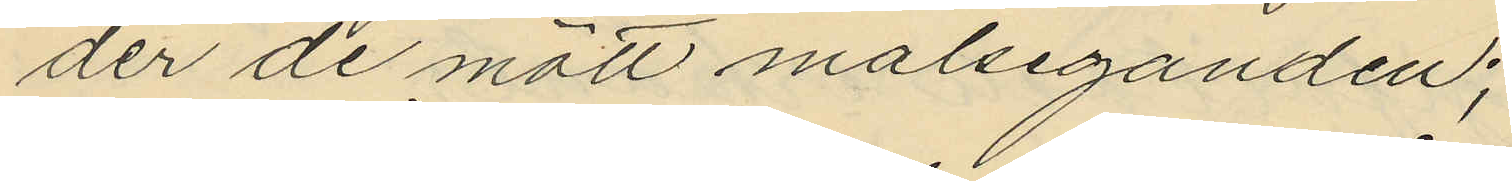der de mött målseganden;
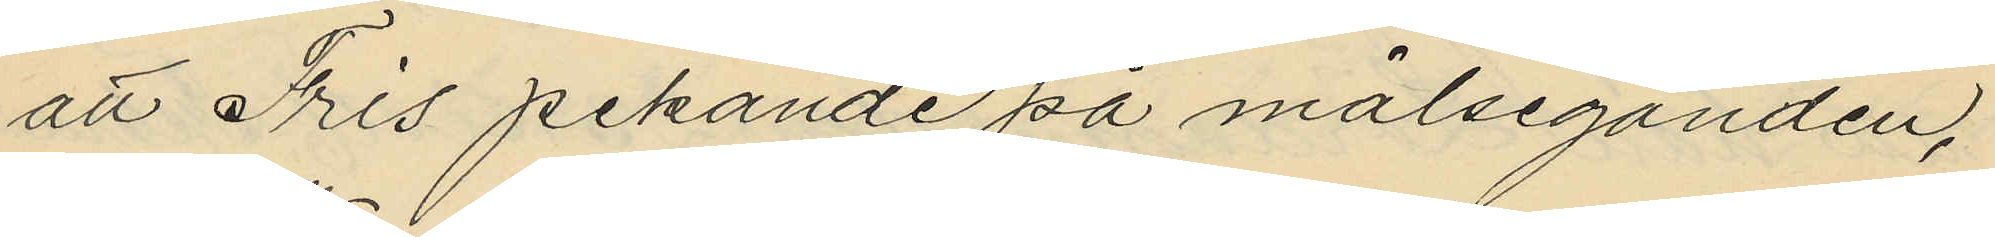att Fris pekande på målseganden,
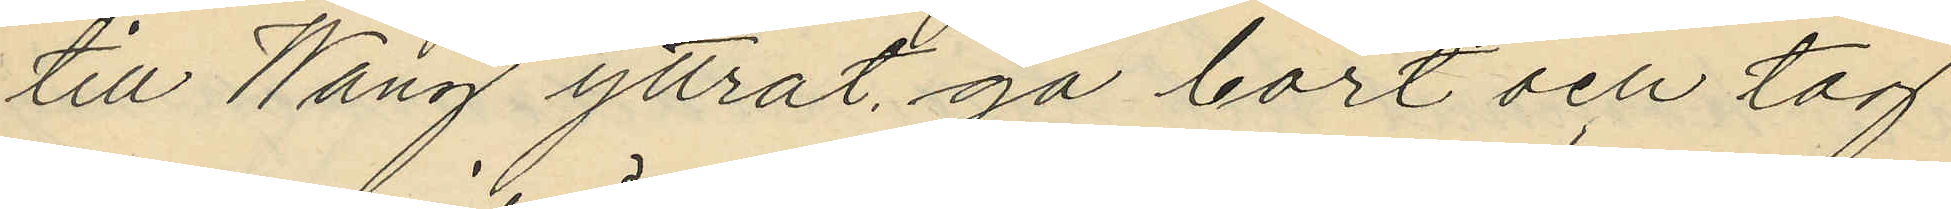till Wang yttrat "gå bort och tag
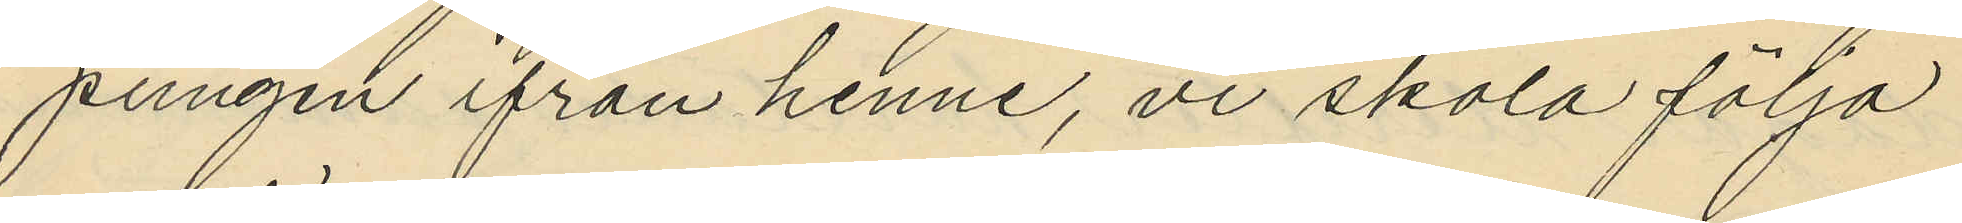pungen ifrån henne, vi skola följa
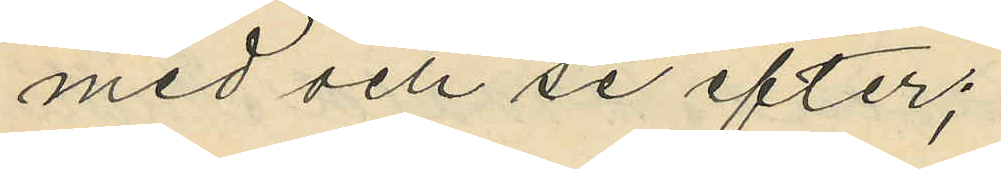med och se efter";
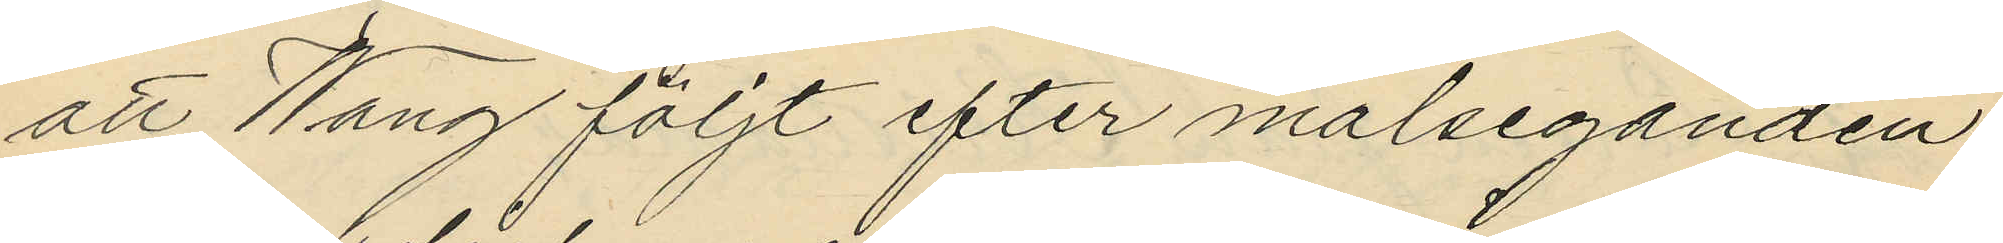att Wang följt efter målseganden
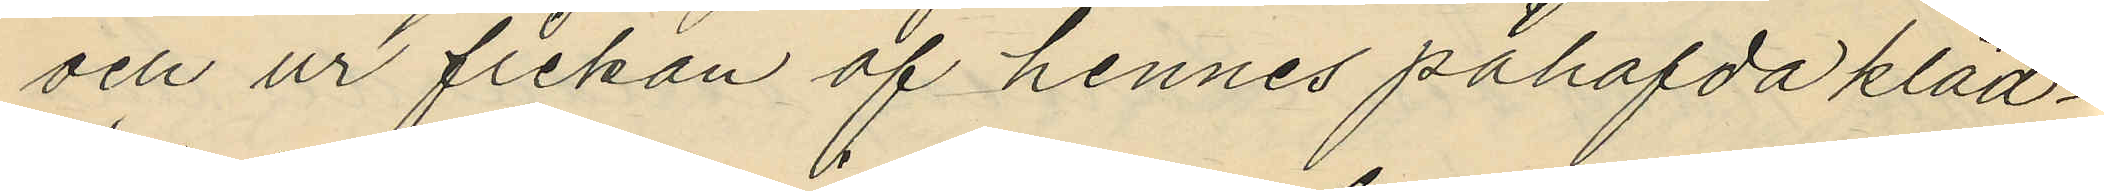och ur fickan af hennes påhafda kläd¬
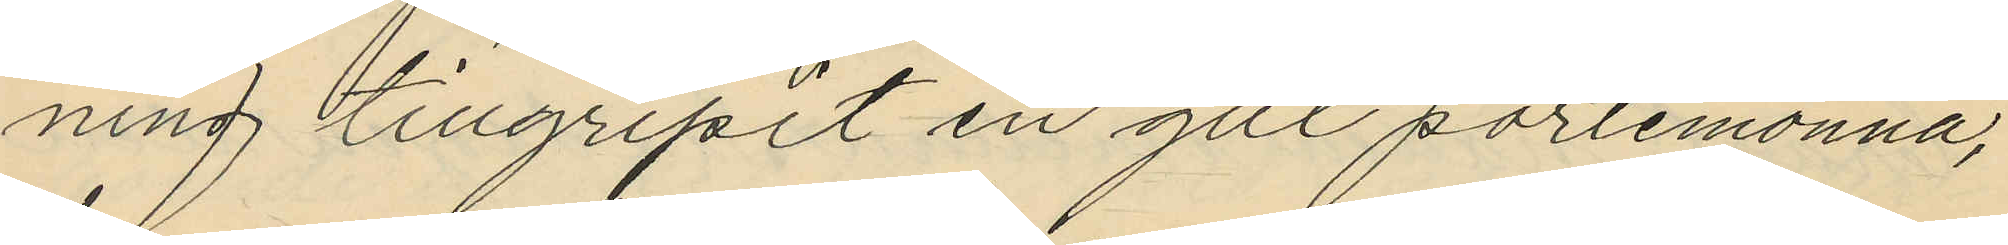ning tillgripit en gul portemonnä,
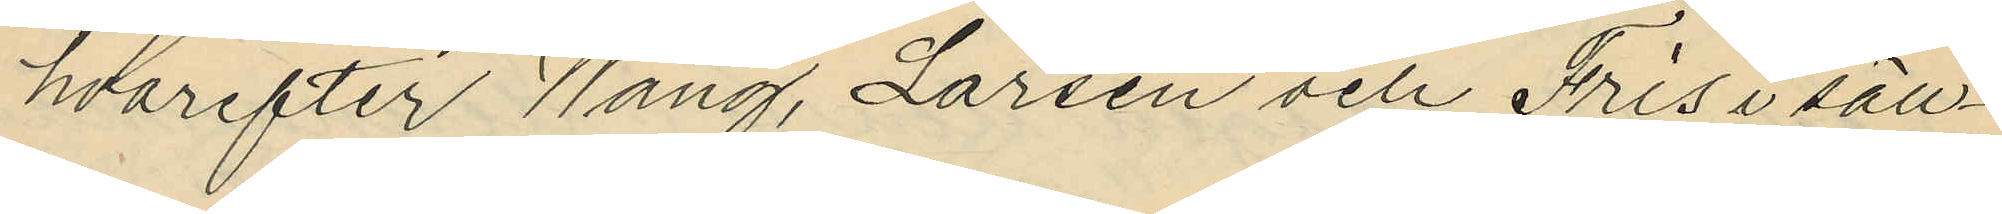hvarefter Wang, Larsen och Fris i säll¬
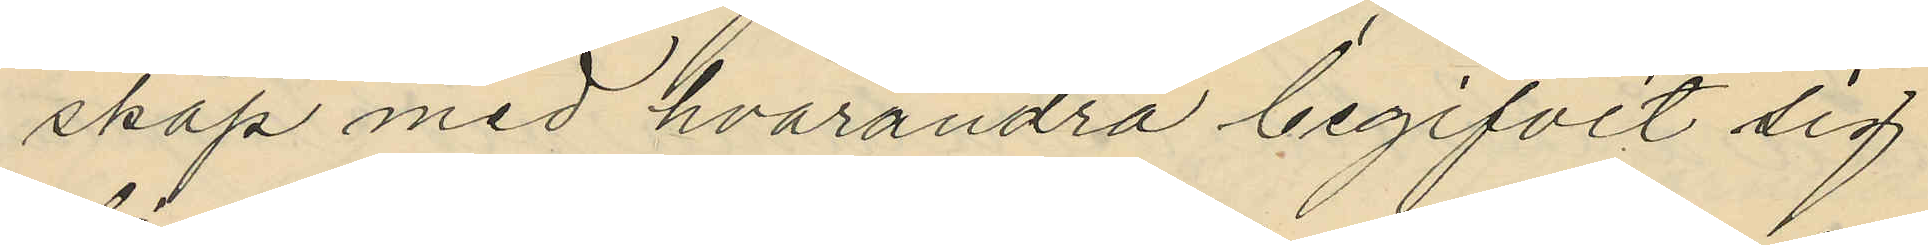skap med hvarandra begifvit sig
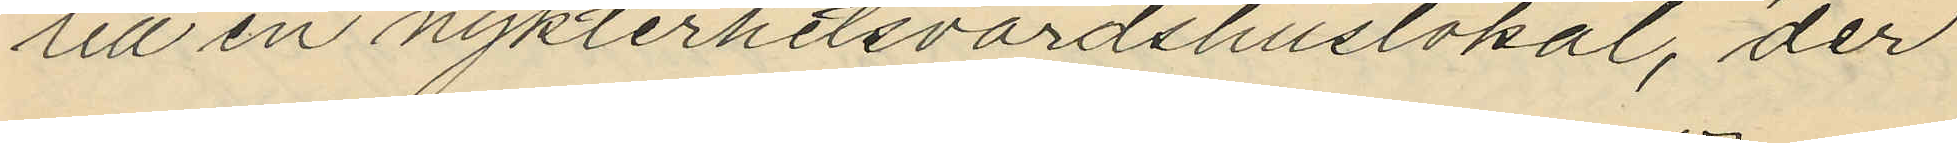till en nykterhetsvärdshuslokal, der
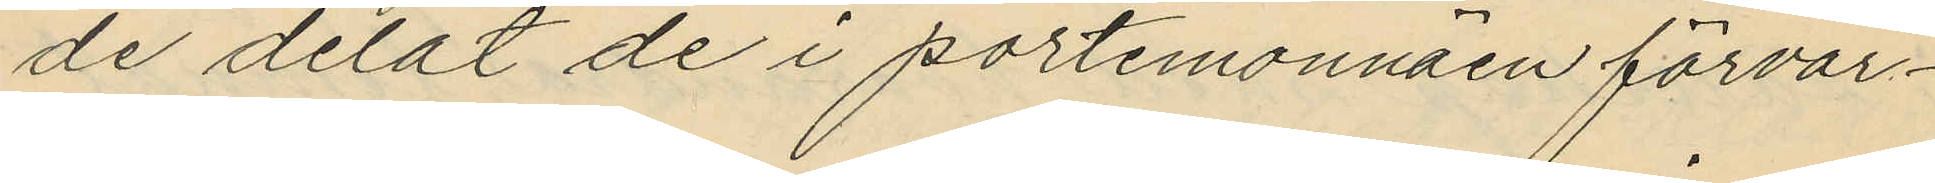de delat de i portemonnäen förvar¬
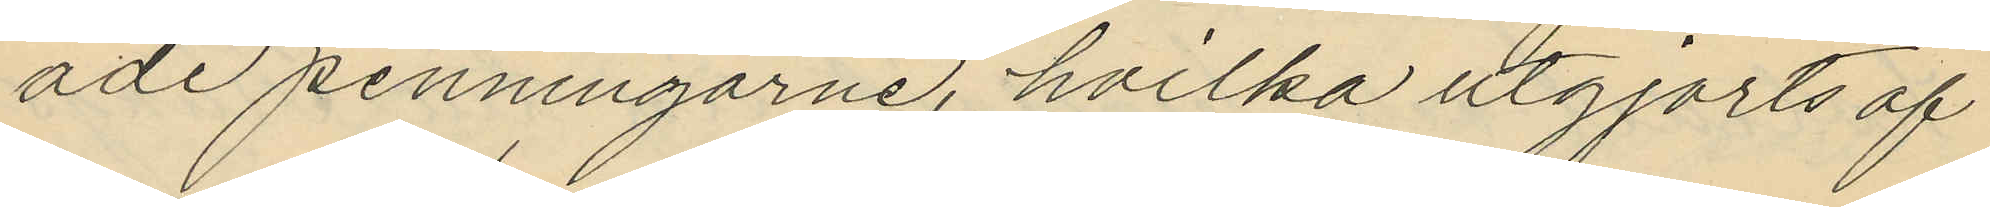ade penningarne, hvilka utgjorts af
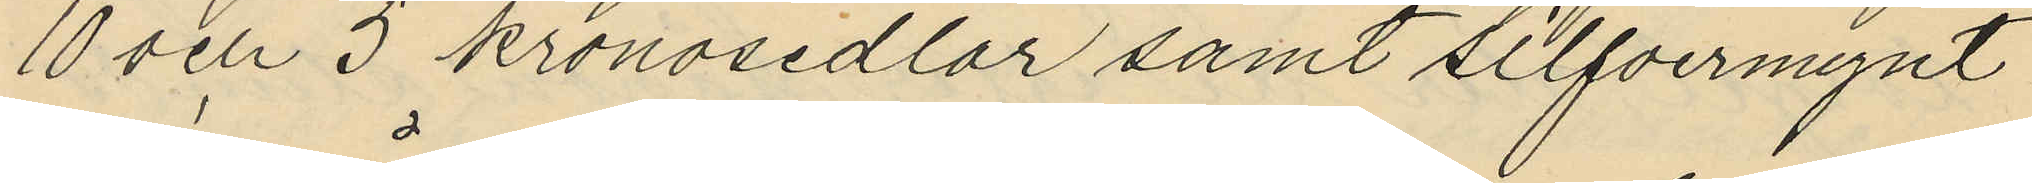10 och 5 kronosedlar samt silfvermynt
